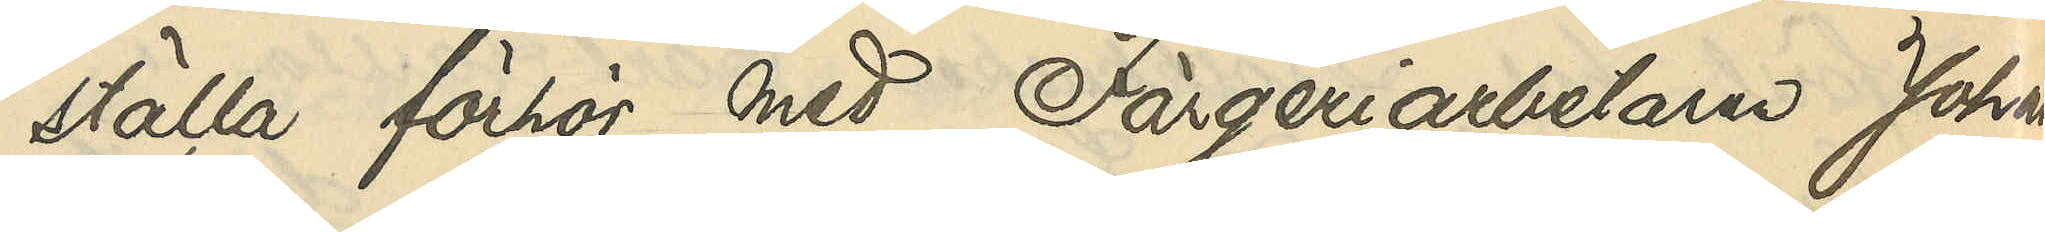ställa förhör med Färgeriarbetaren Johan
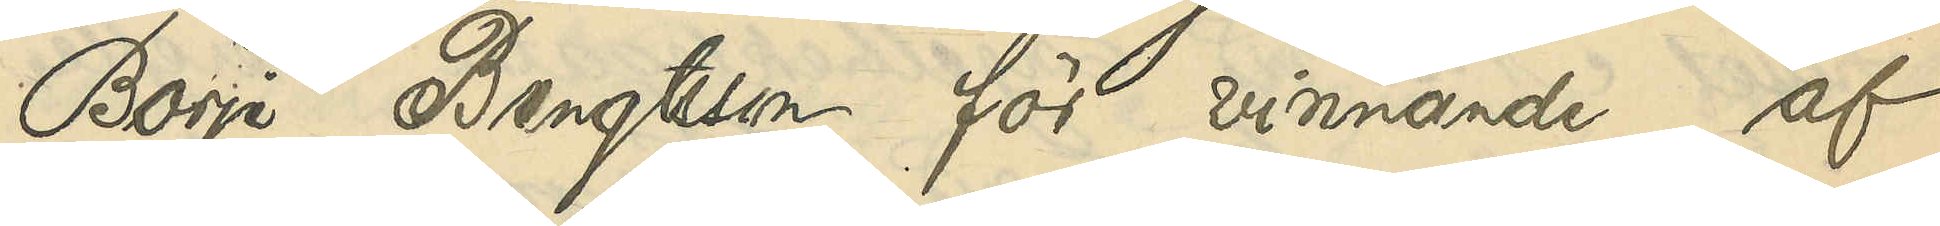Börje Bengtsson för vinnande af
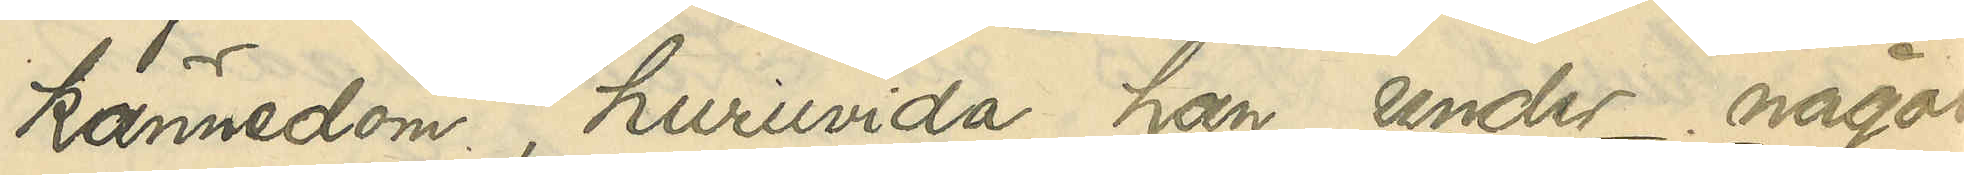kännedom , huruvida han under något
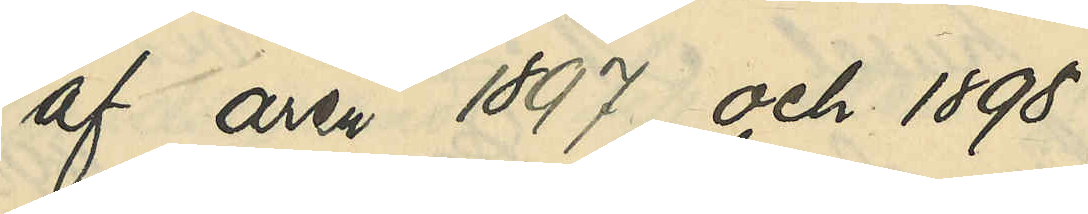af åren 1897 och 1898
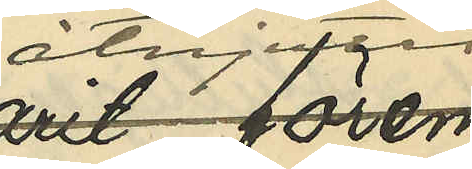åtnjutit
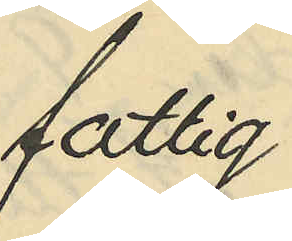fattig¬
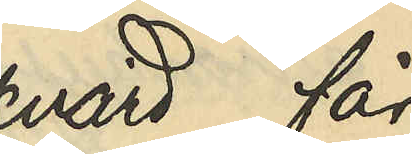vård, får 
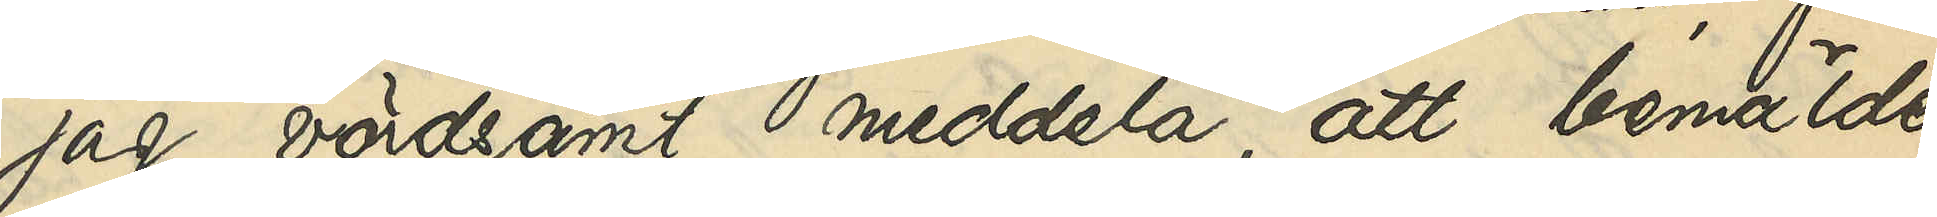jag vördsamt meddela, att bemälde
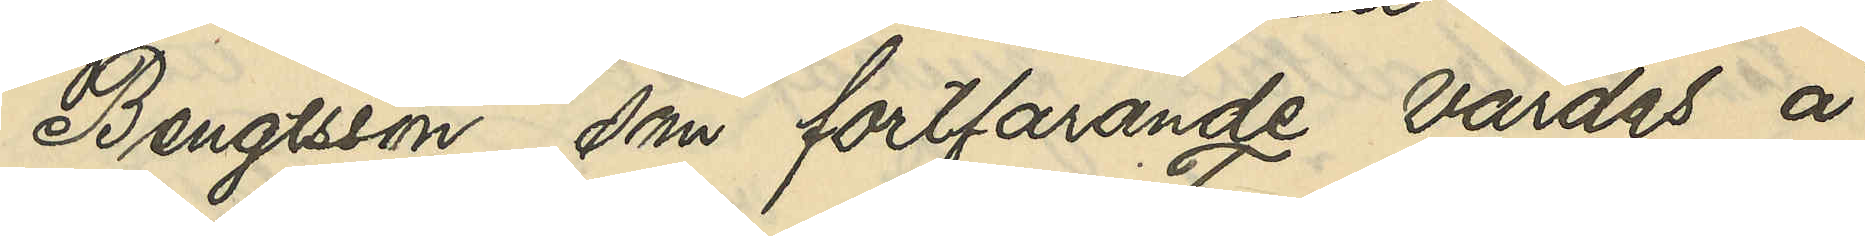Bengtsson, som fortfarande vårdas å
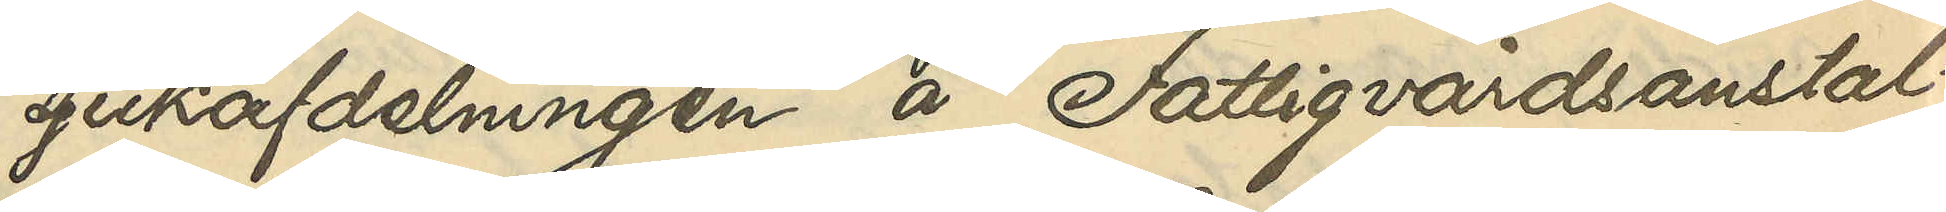sjukafdelningen å Fattigvårdsanstal¬
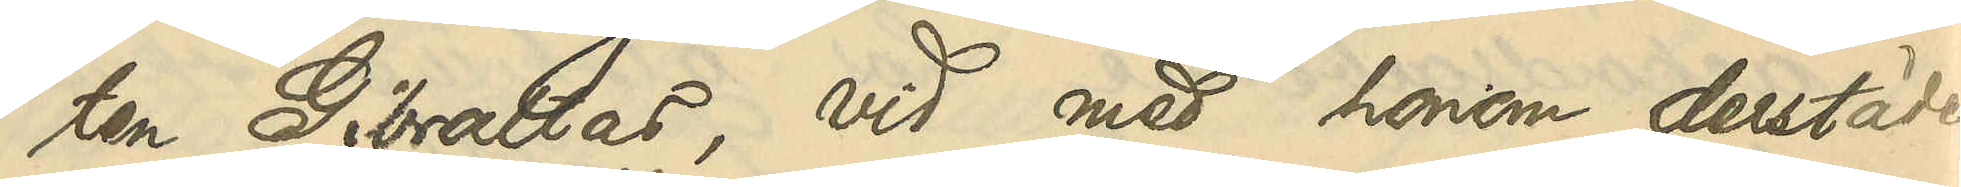ten Gibraltar, vid med honom derstädes
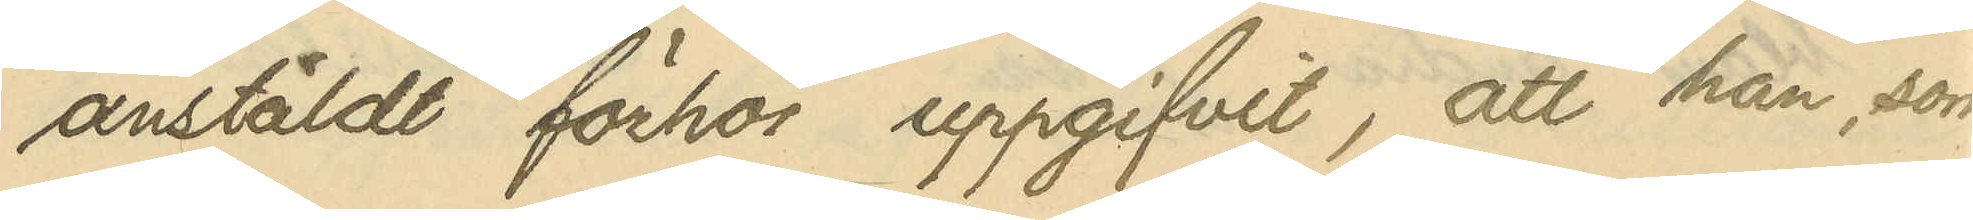anstäldt förhör uppgifvit, att han, som
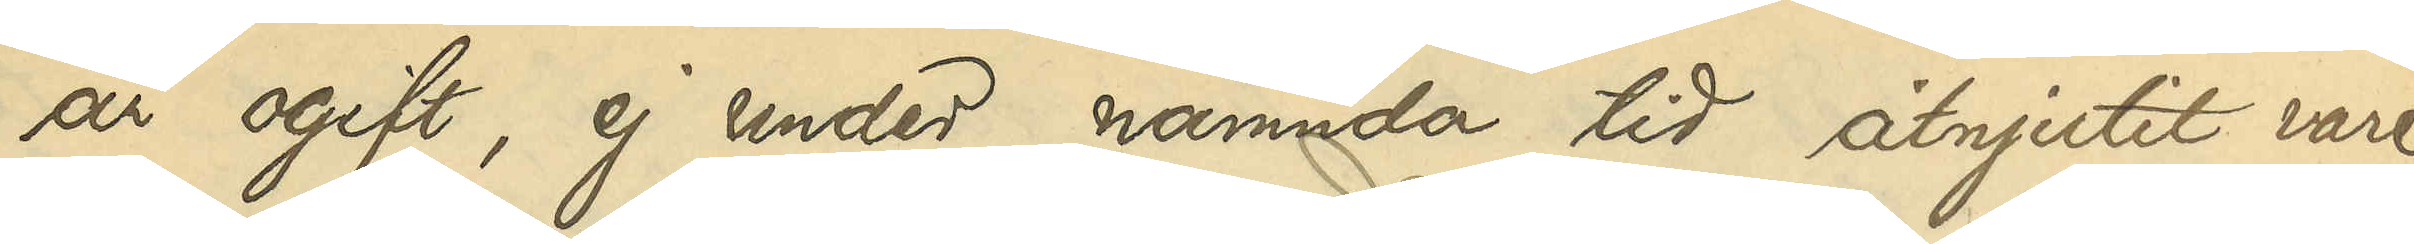är ogift, ej under nämnda tid åtnjutit vare
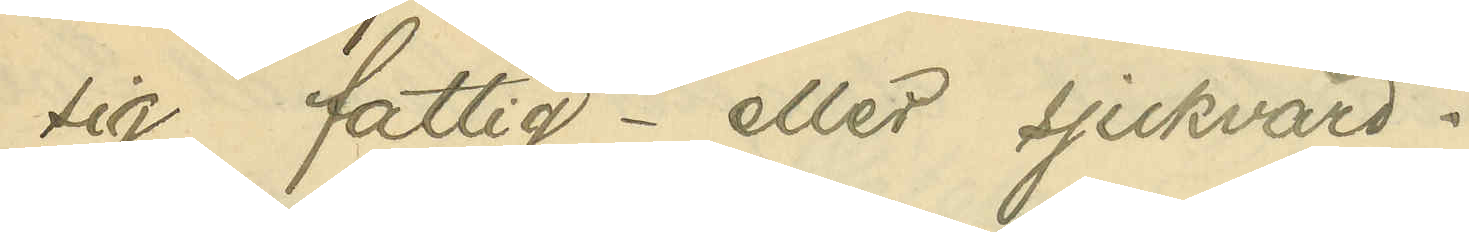sig fattig- eller sjukvård.
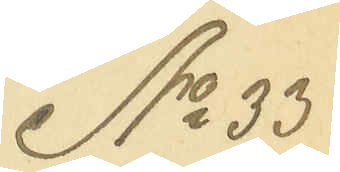No 33
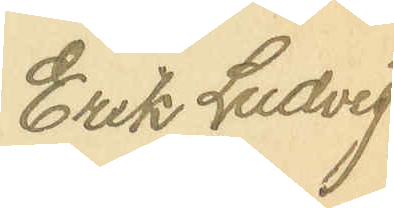Erik Ludvig
